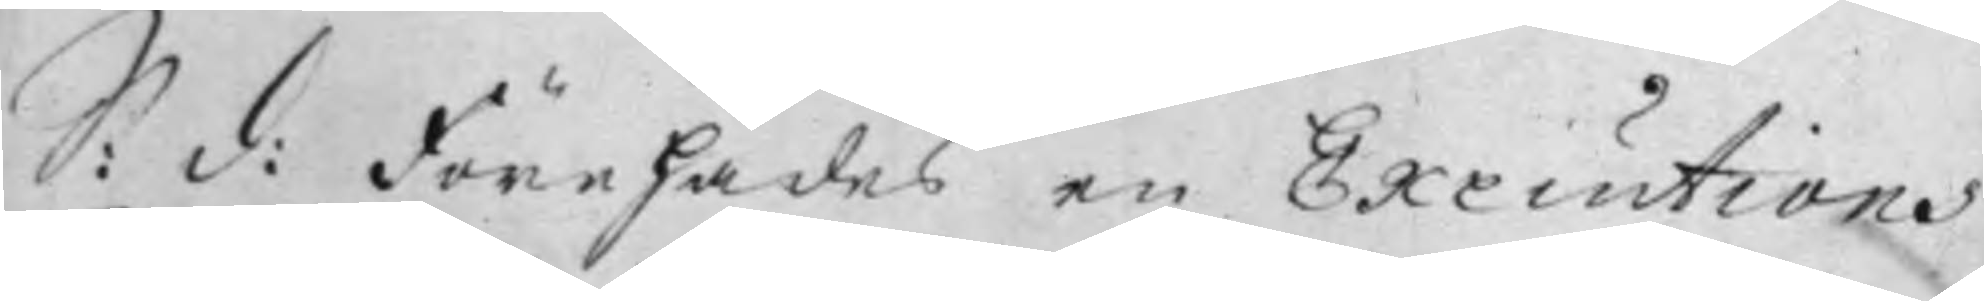S: d: Förehades en Executions
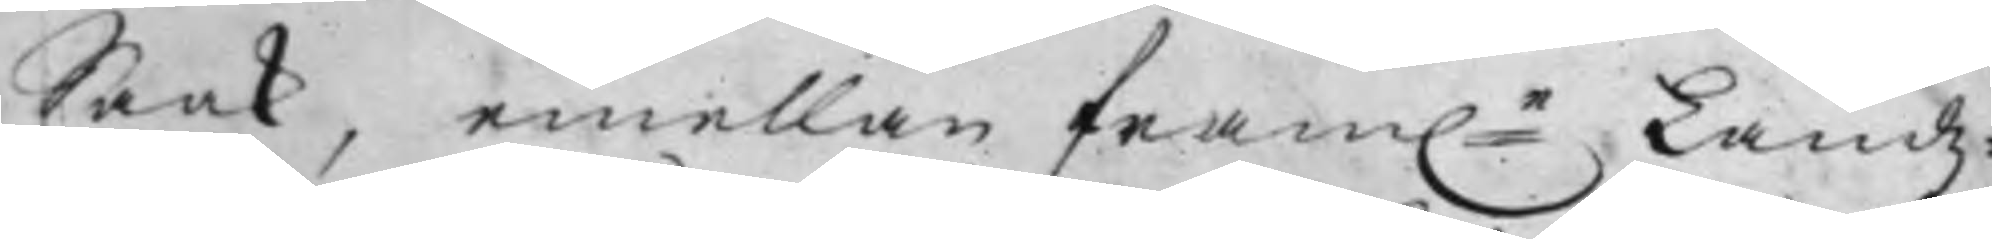Saak, emellan fram:e Landz¬
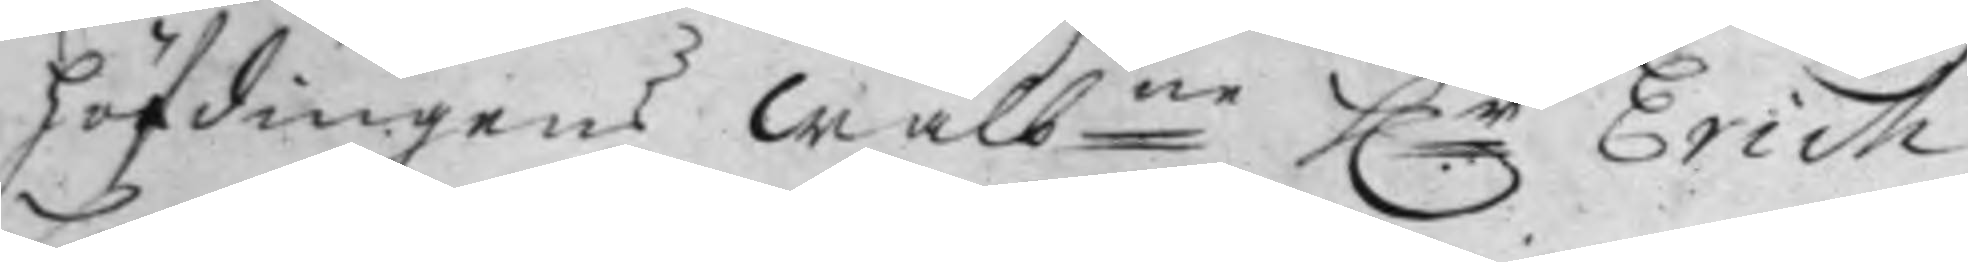höfdingens Wälb:ne h:r Erich
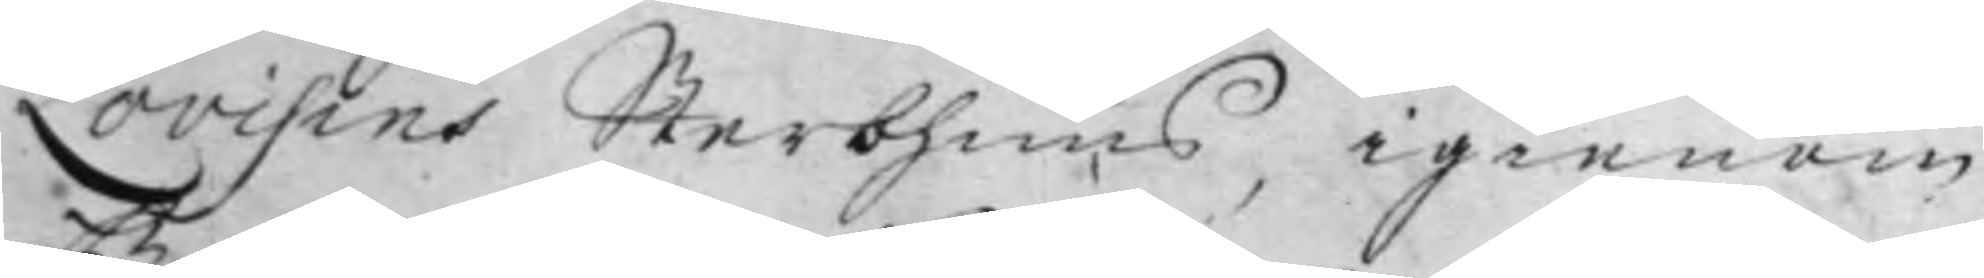Lovisins Sterbhuus, igienom
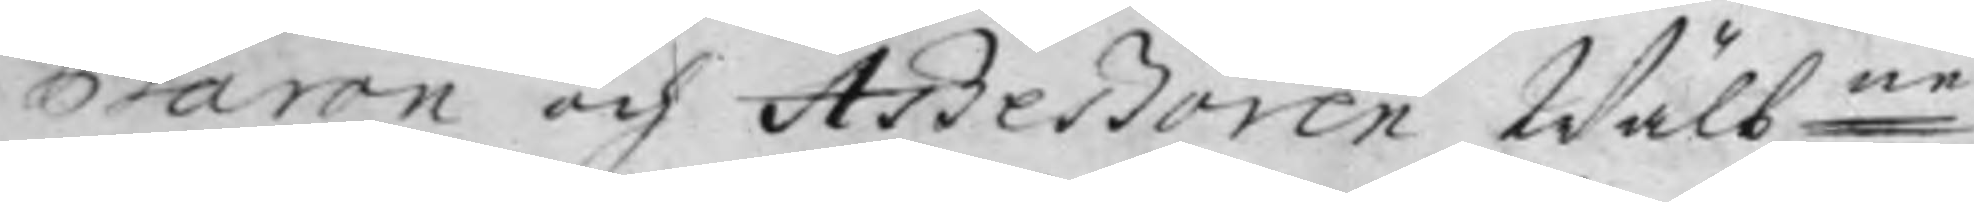Baron och Aßeßoren Wälb:ne
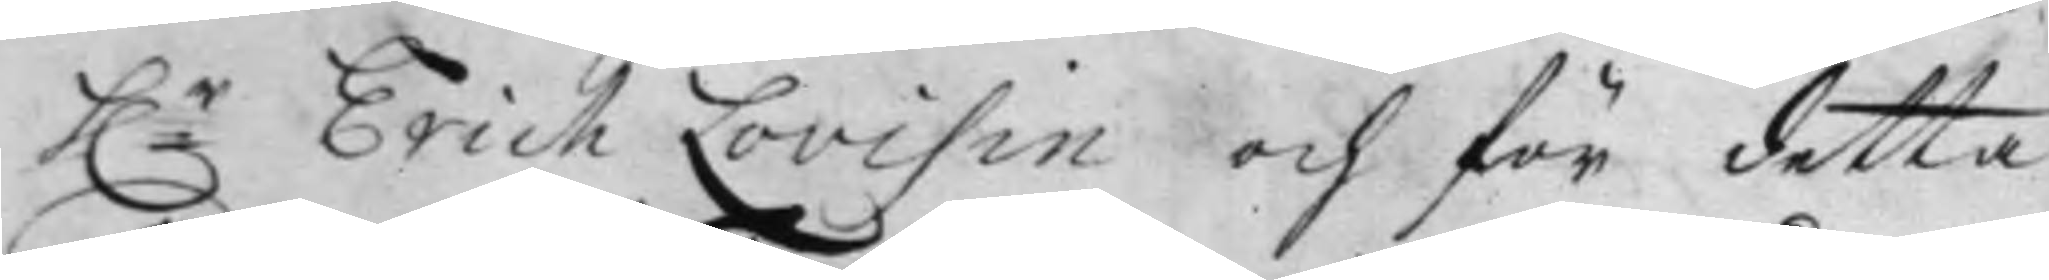h:r Erich Lovisin och för detta
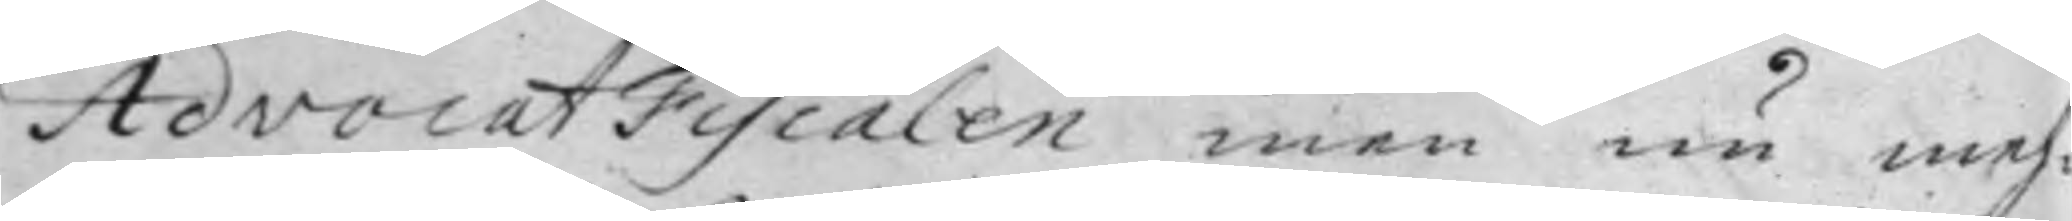Advocat Fiscalen men nu meh¬
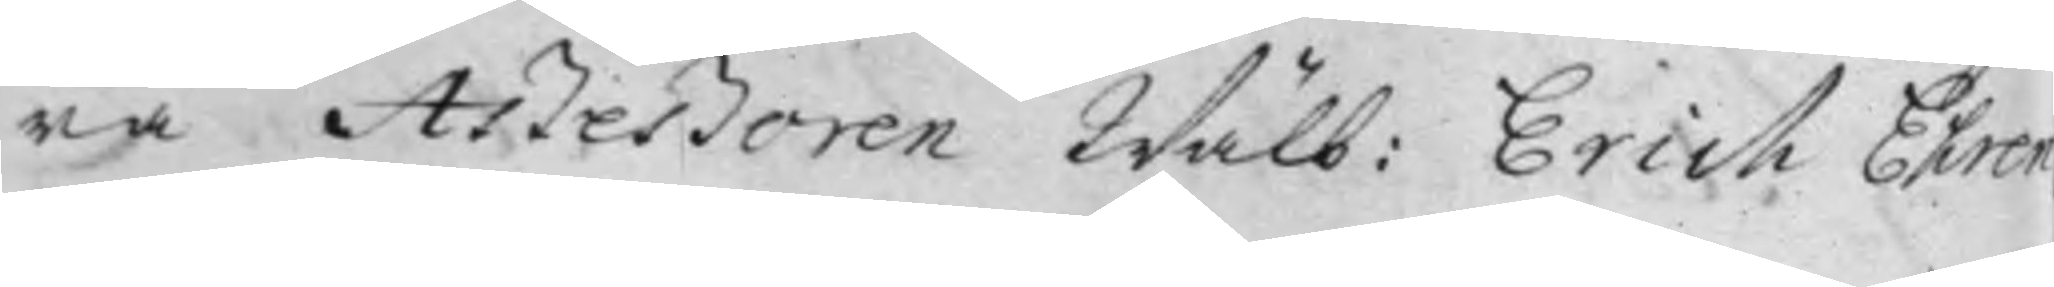ra Aßeßoren Wälb: Erich Ehren¬
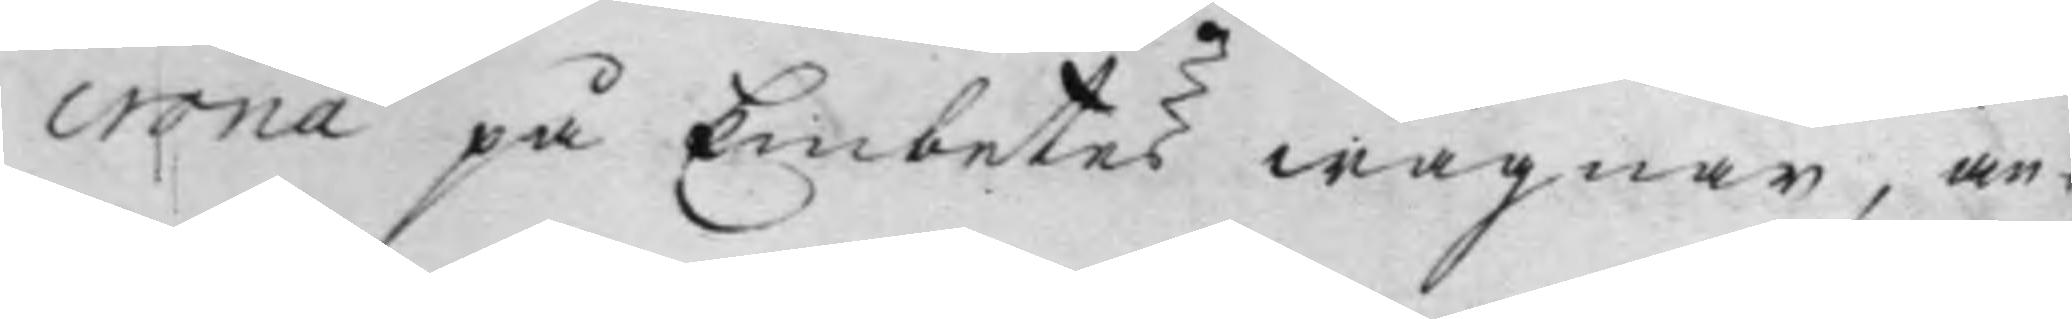crona på Embetes wägnar, an¬
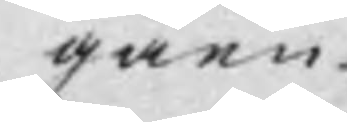gåen¬
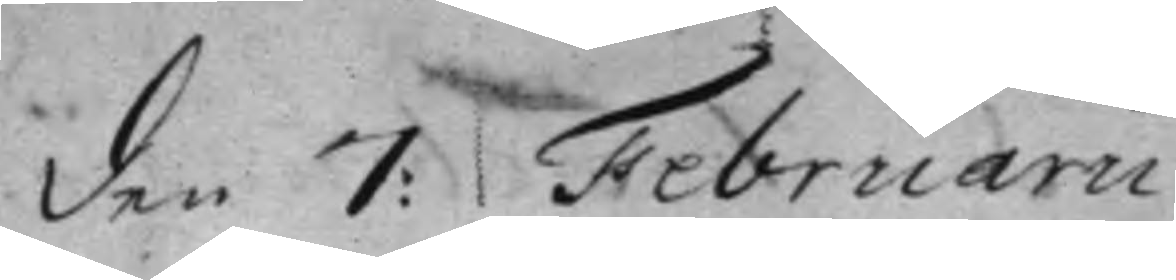den 7: Februarii.
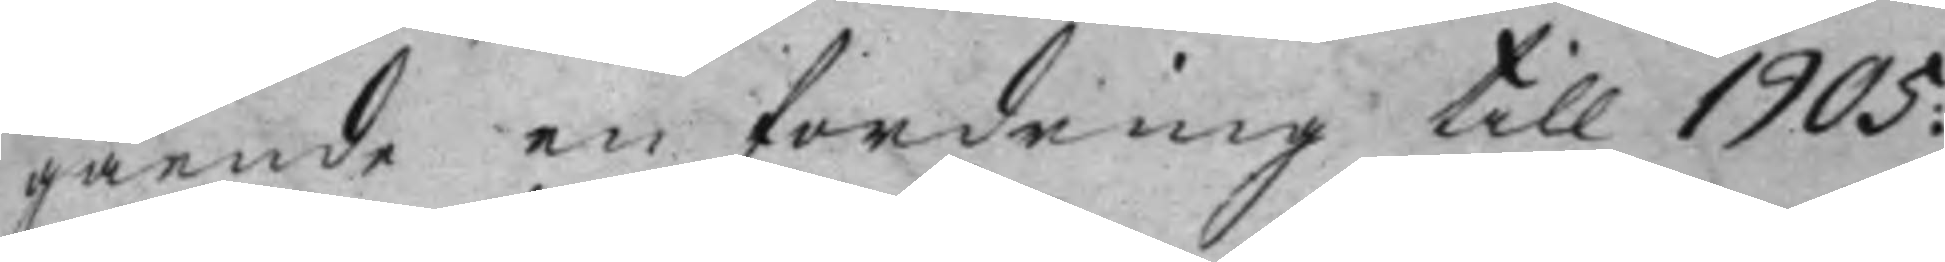gående en fordring till 1905:
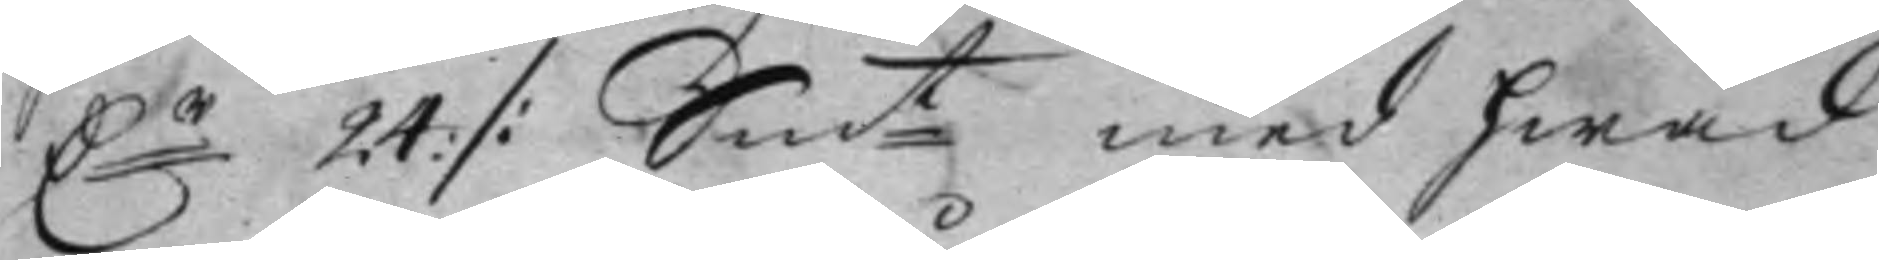D:r 24: /: Sm:t med hwad
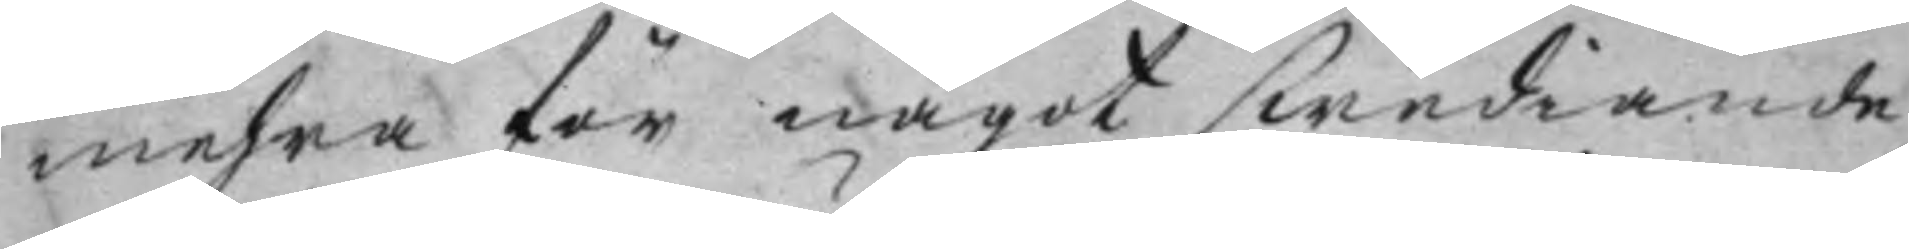mehra för något swediande
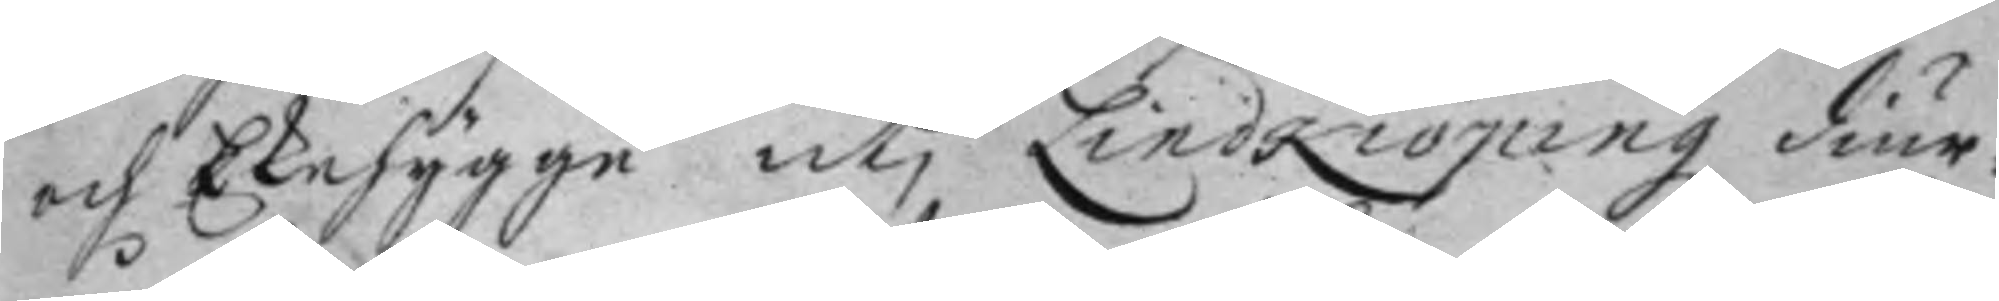och Ekehygge utj Lindköpingz diur¬
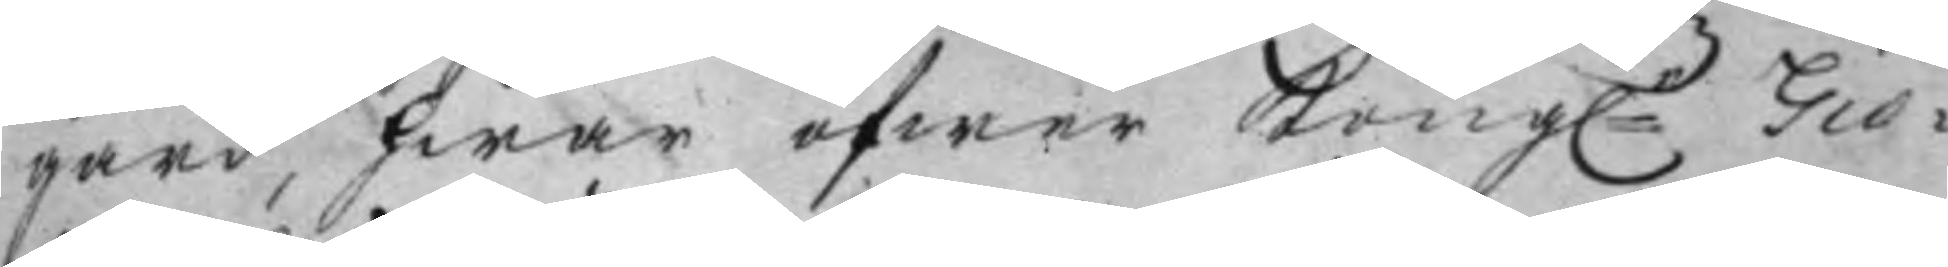gård, hwar öfwer Kong:e Giö¬
